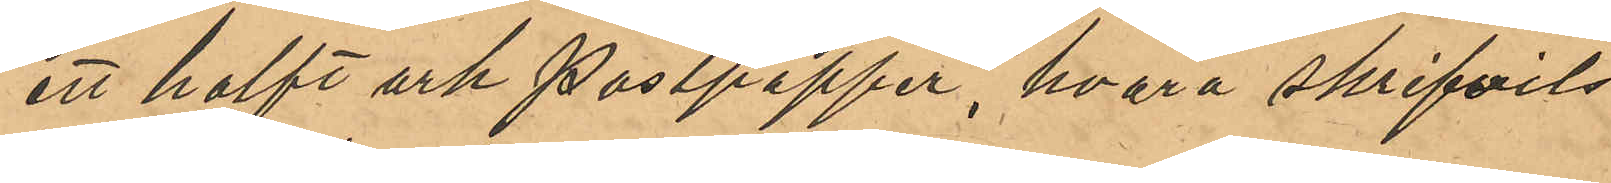ett halft ark postpapper, hvarå skrifvits
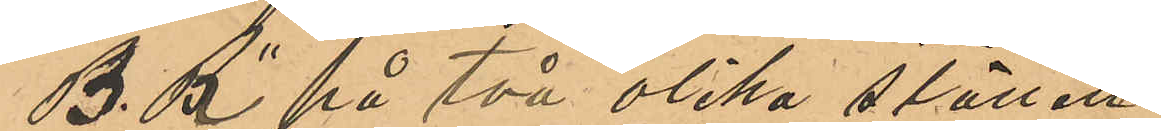"B. R." på två olika ställen.
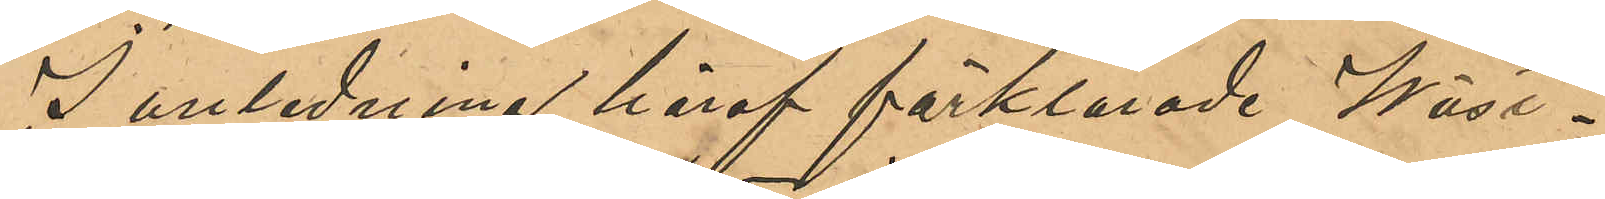I anledning häraf förklarade Wäst¬
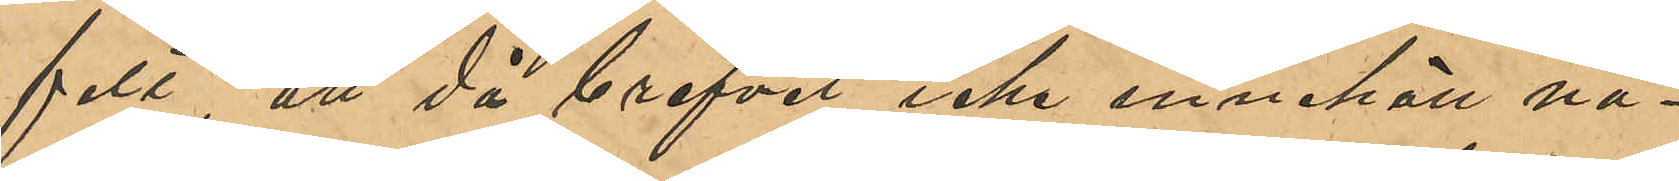felt, att då brefvet icke innehöll nå¬
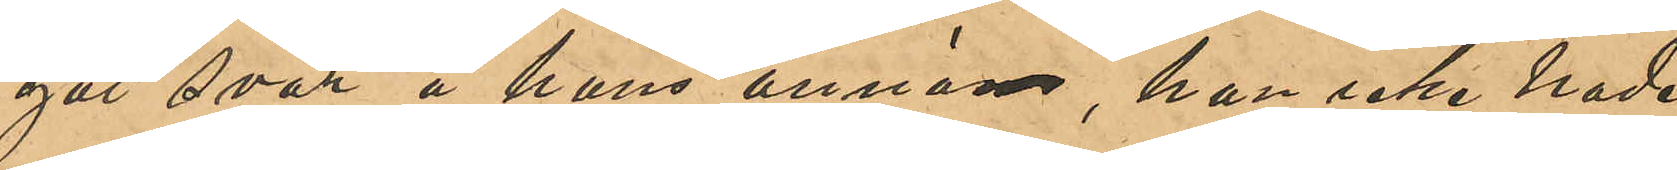got svar å hans annons, han icke hade
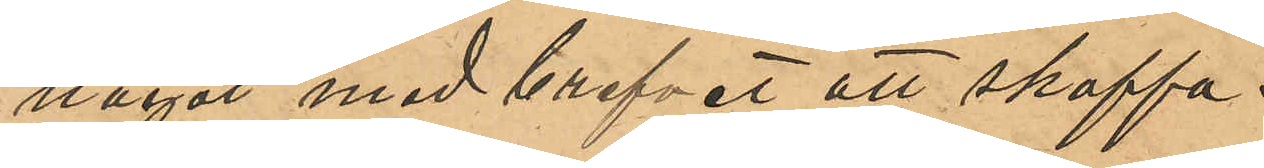något med brefvet att skaffa.
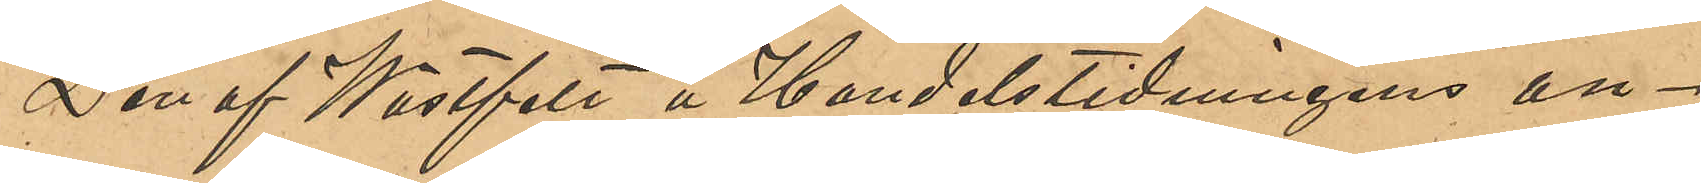Den af Wästfelt å Handelstidningens an¬
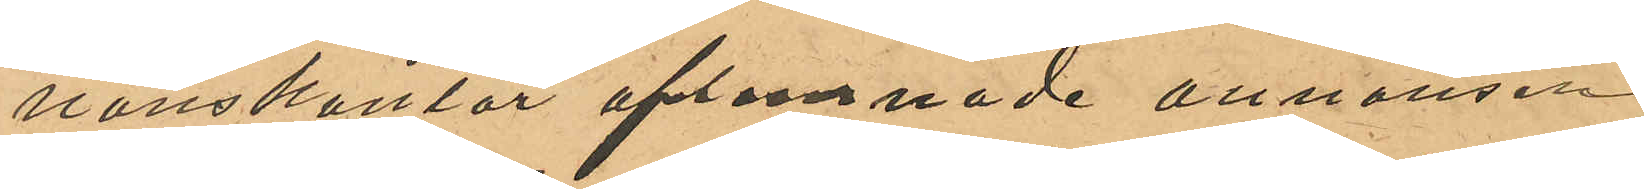nonskontor aflemnade annonsen
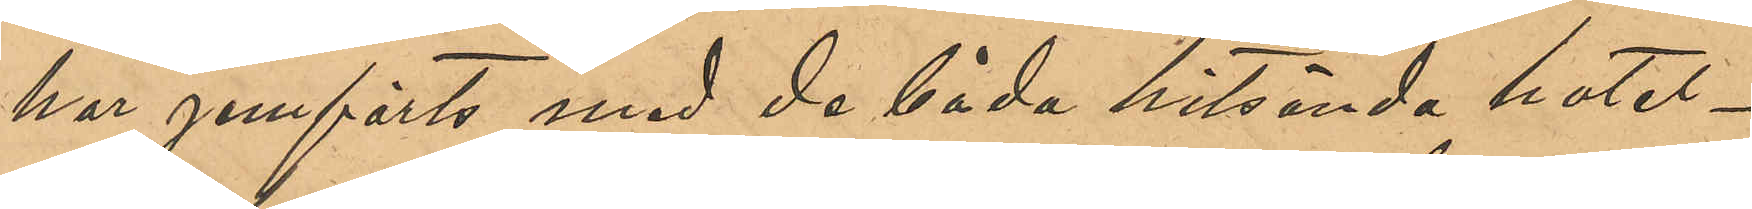har jemförts med de båda hitsända hotel¬
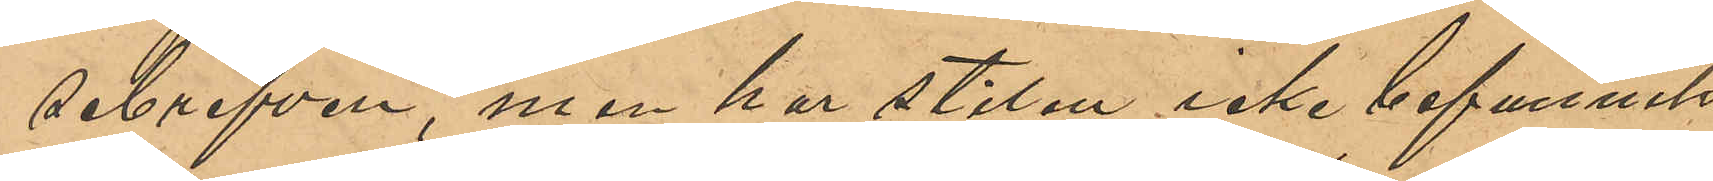sebrefven, men har stilen icke befunnits
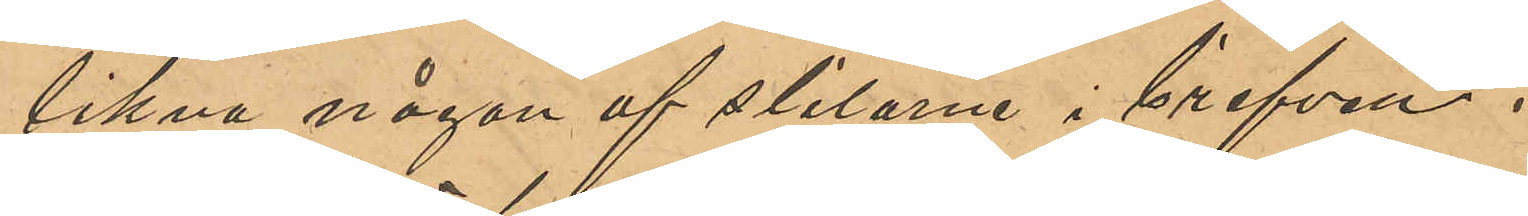likna någon af stilarna i brefven.
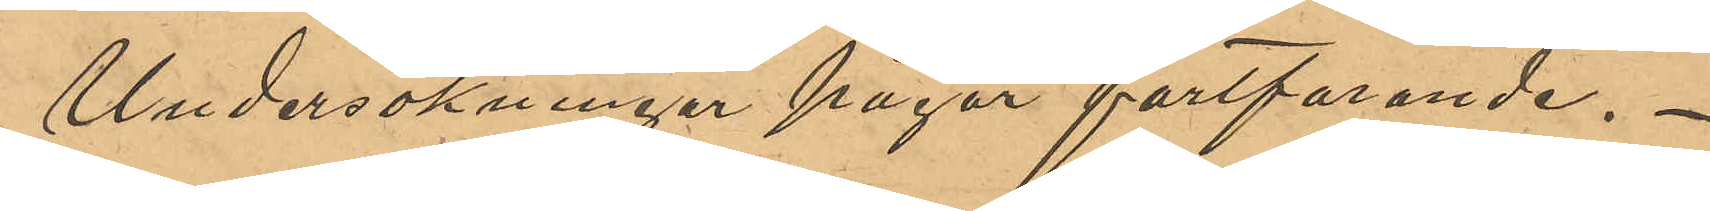Undersökningen pågår fortfarande.
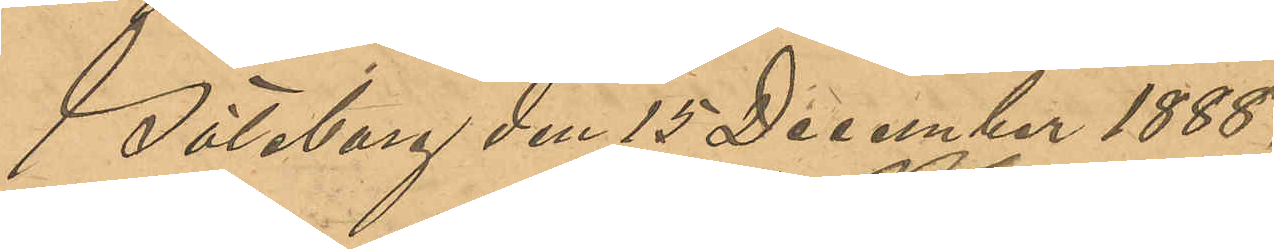Göteborg den 15 December 1888.
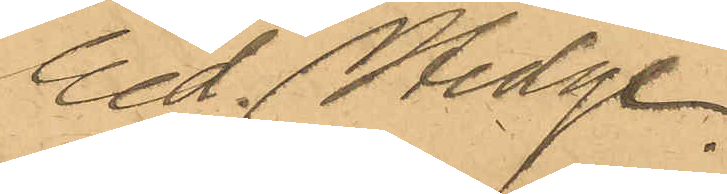Ed. Hedge
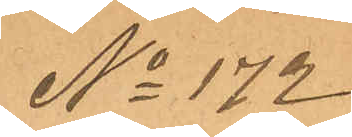No 172
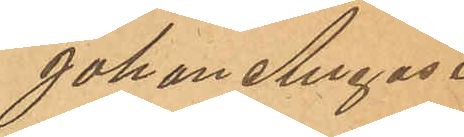Johan August
